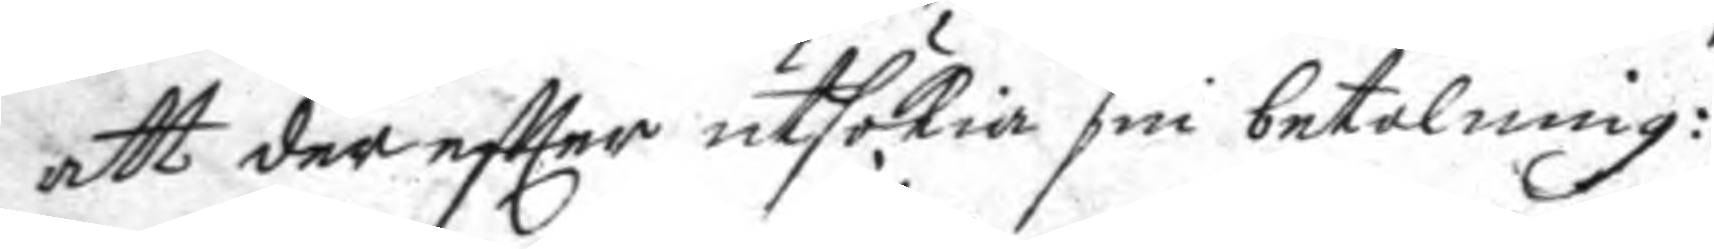att der eftter utsökia sin betalning:
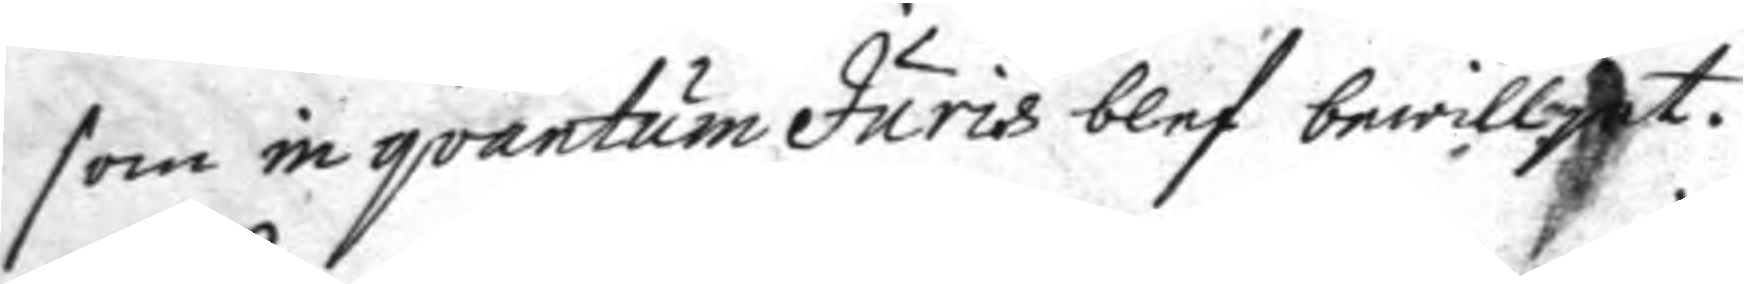som in qvantum Juris blef bewilljat
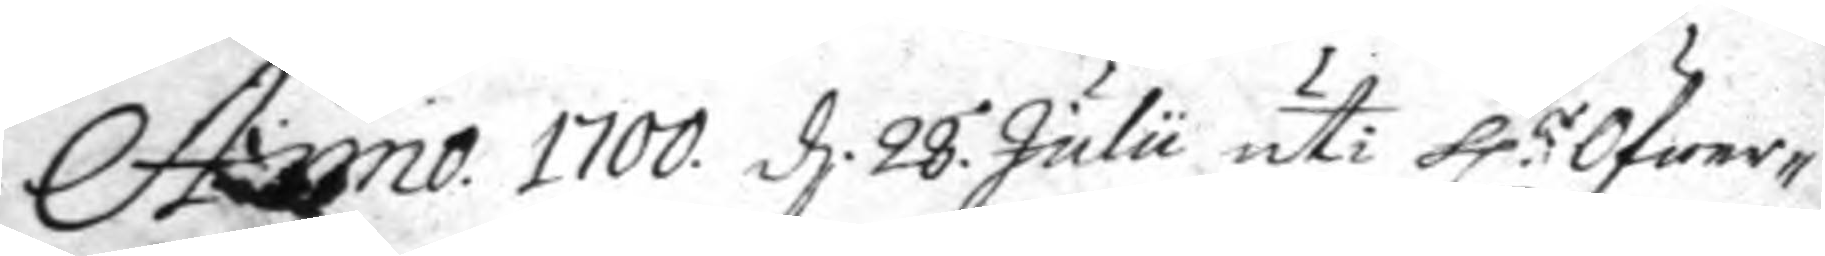Anno 1700. d. 28. Julii uti h:r Öfwer¬
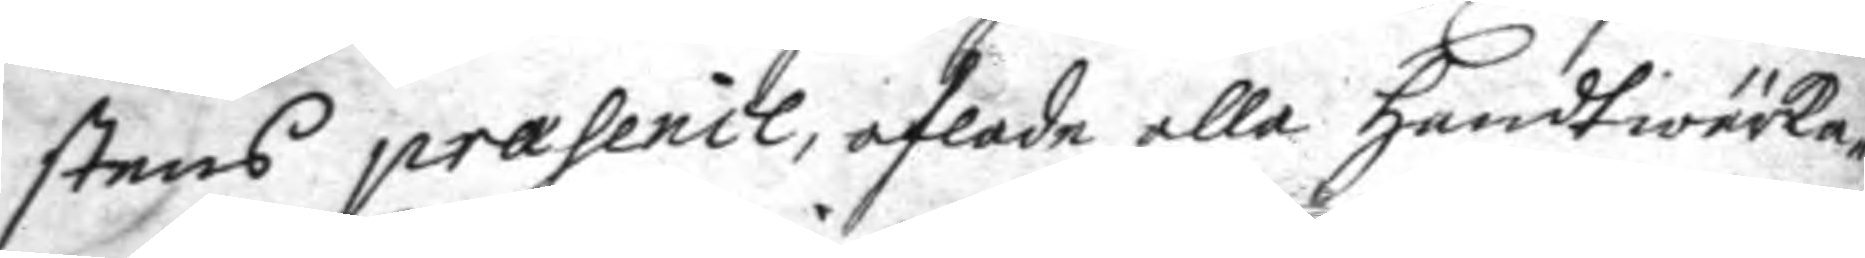stens praseil, aflade alla handtwärke¬
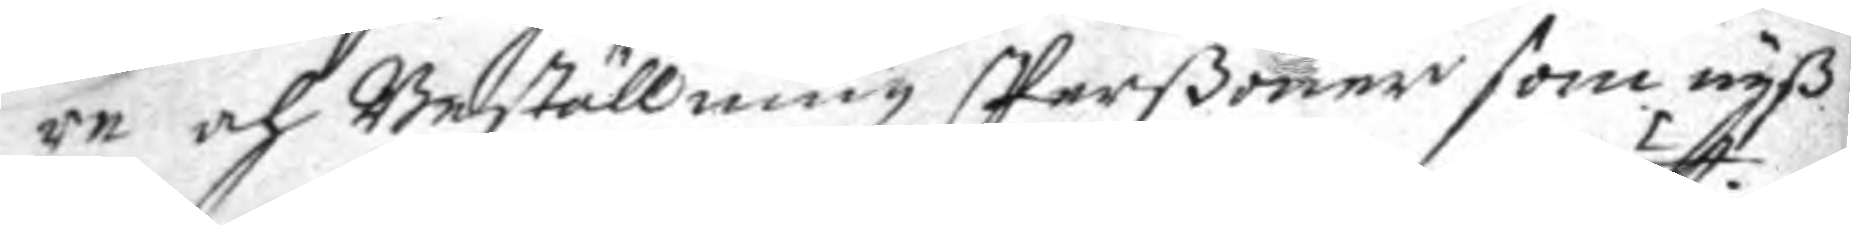re och Beställningz Perßoner som nyß
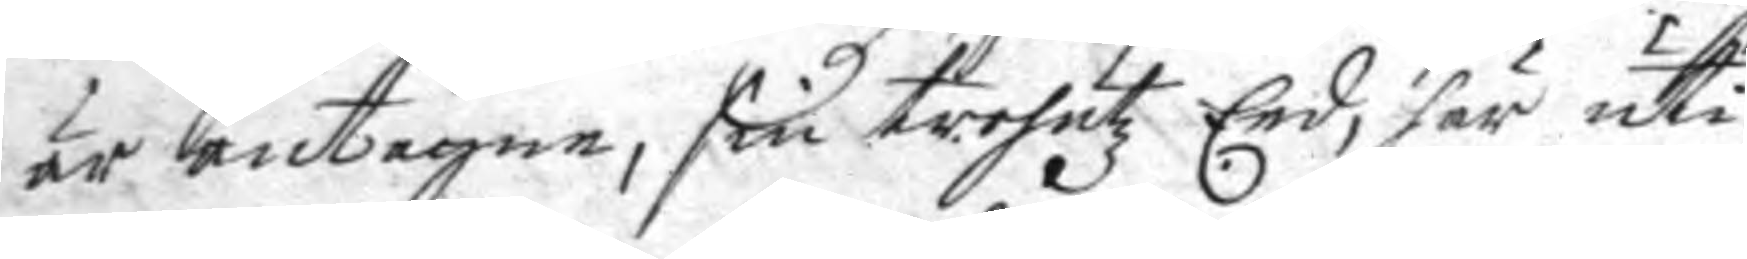är antagne, sin trohetz Eed, här uti
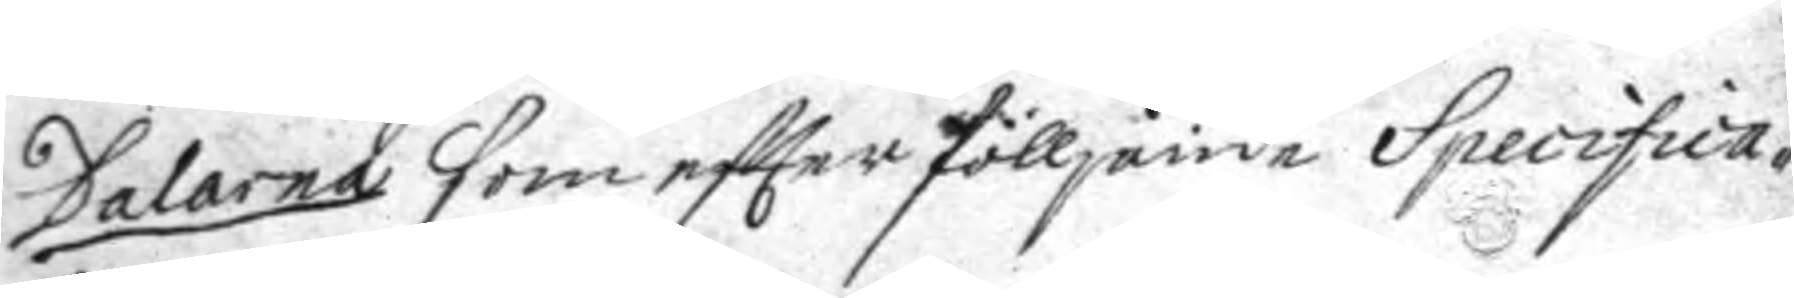Dalarna som eftter fölljande Specifica¬
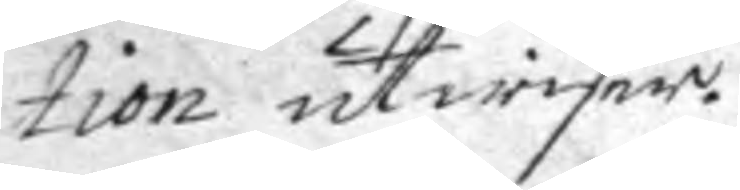tion utwisar.
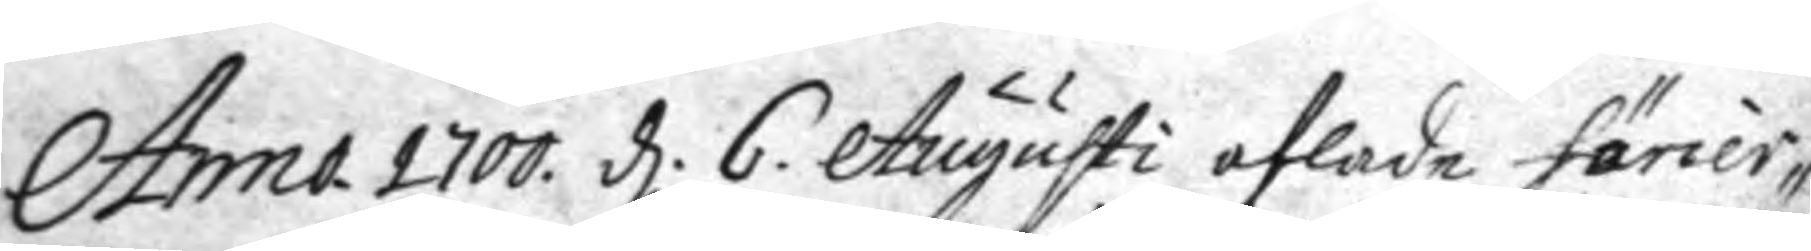Anno 1700. d. 6. Augusti aflade furier¬
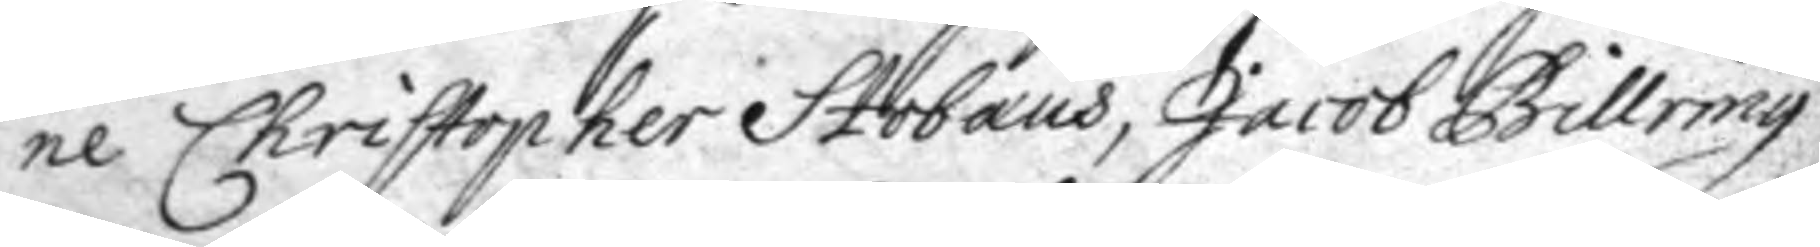ne Christopher Stobaus, Jacob Billring
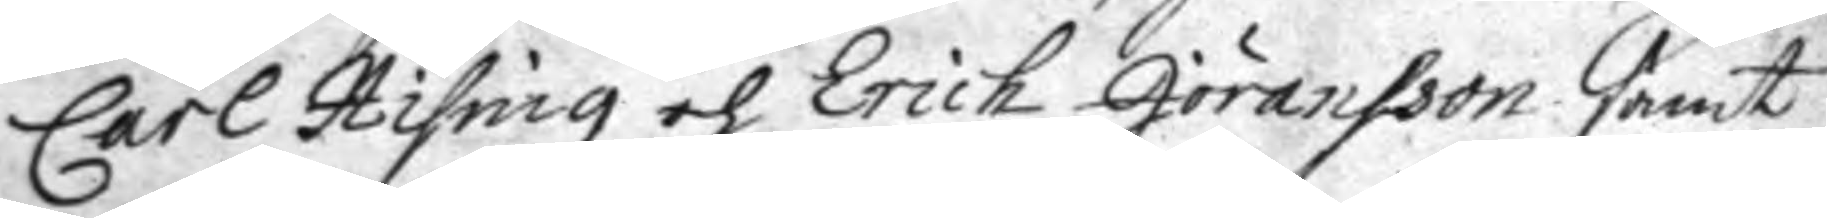Carl Hising och Erich Jöransson samt
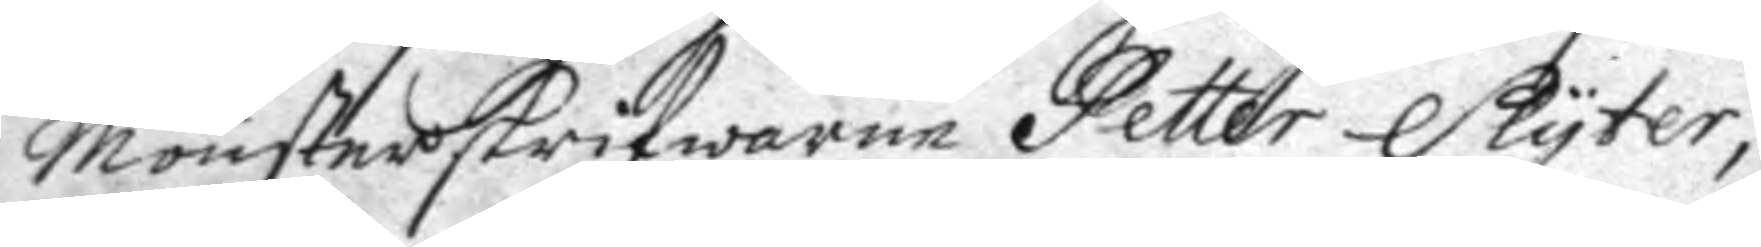mönsterskrifwaren Petter Slyter,
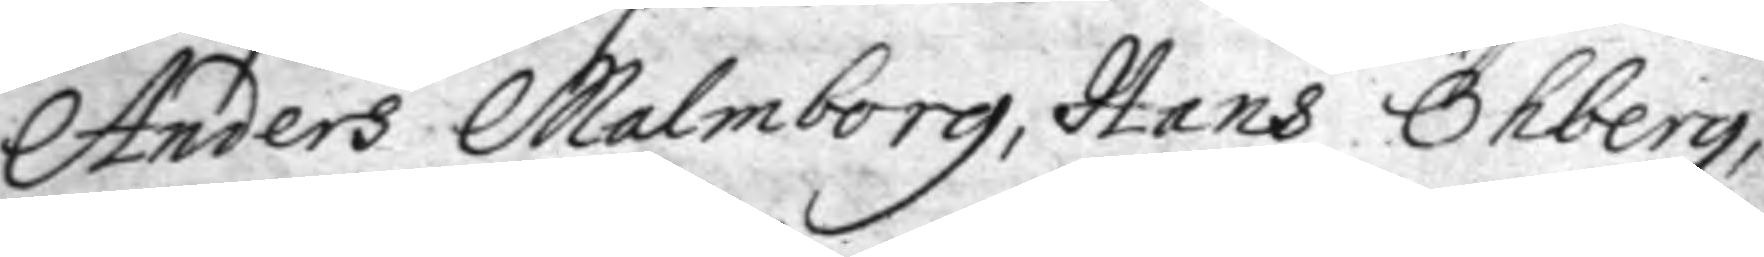Anders Malmborg, hans Öhberg,
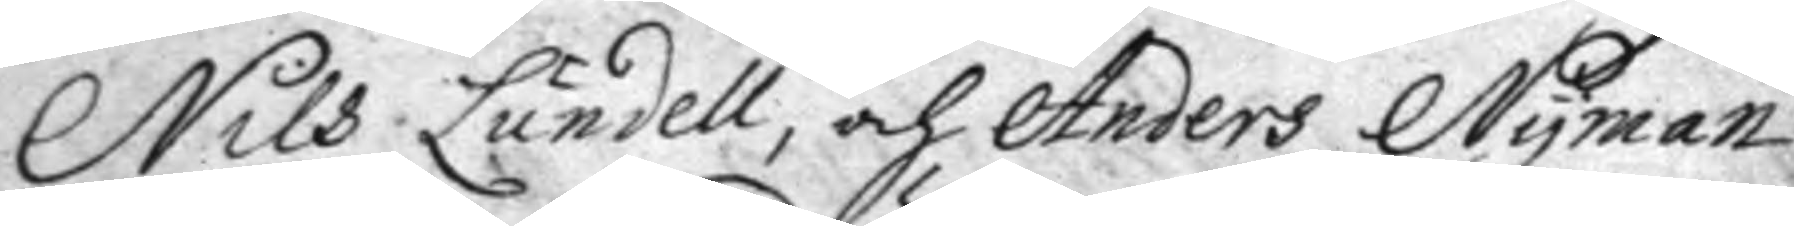Nils Lundell, och Anders Nyman
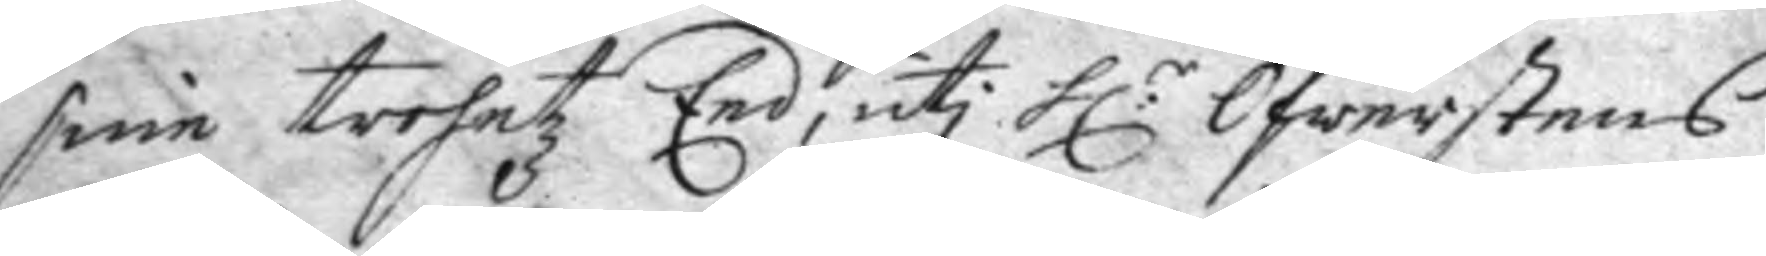sine trohetz Eed, uti h:r Öfwerstens
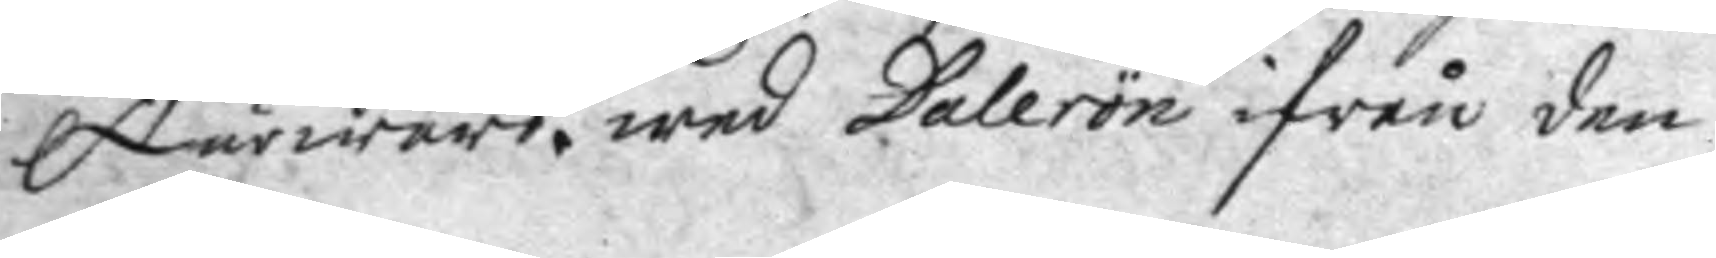Närwaro wed Dalerön ifrån den
